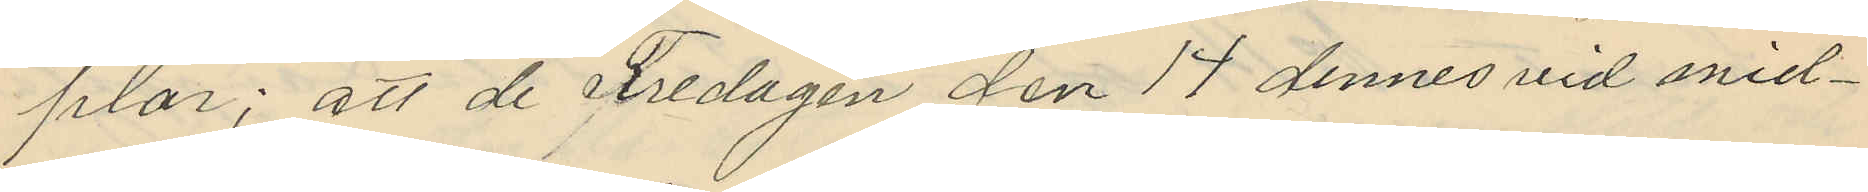plar; att de Fredagen den 14 dennes vid mid¬
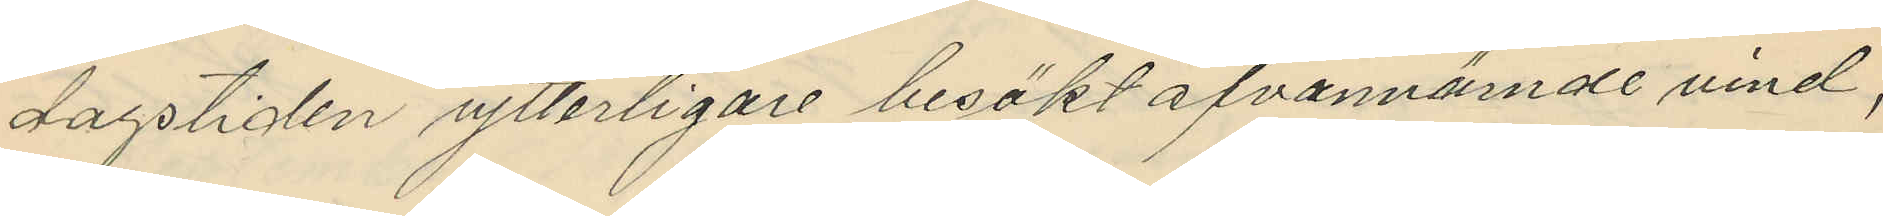dagstiden ytterligare besökt ofvannämde vind,
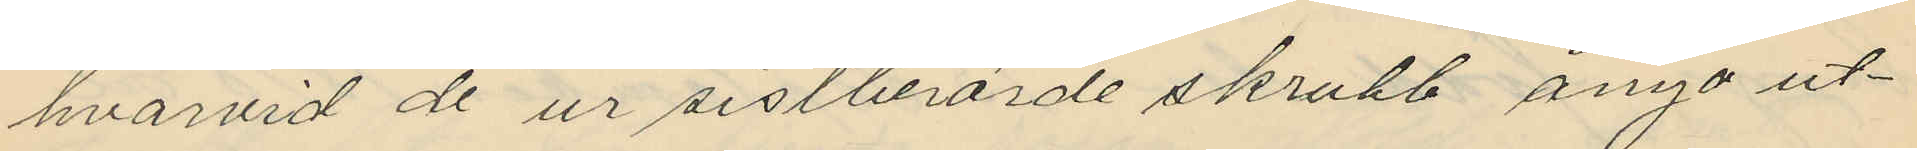hvarvid de ur sistberörde skrubb ånyo ut¬
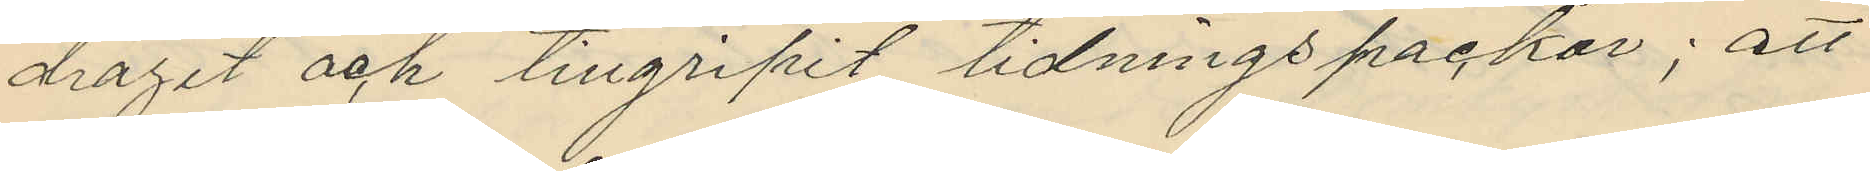dragit och tillgripit tidningspackar; att
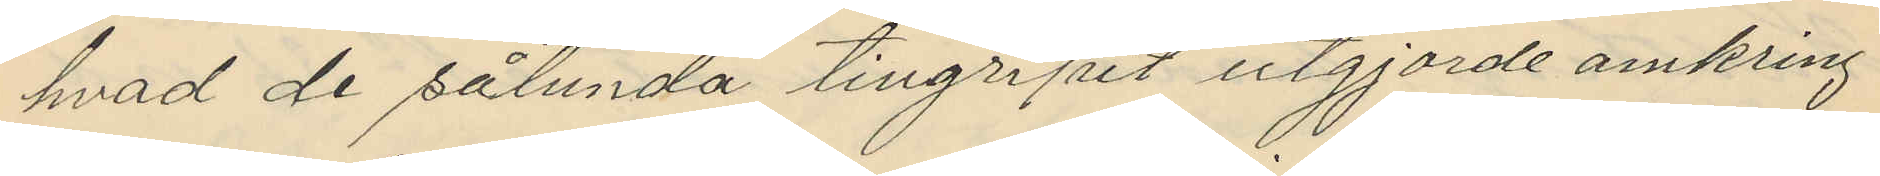hvad de sålunda tillgripit utgjorde omkring
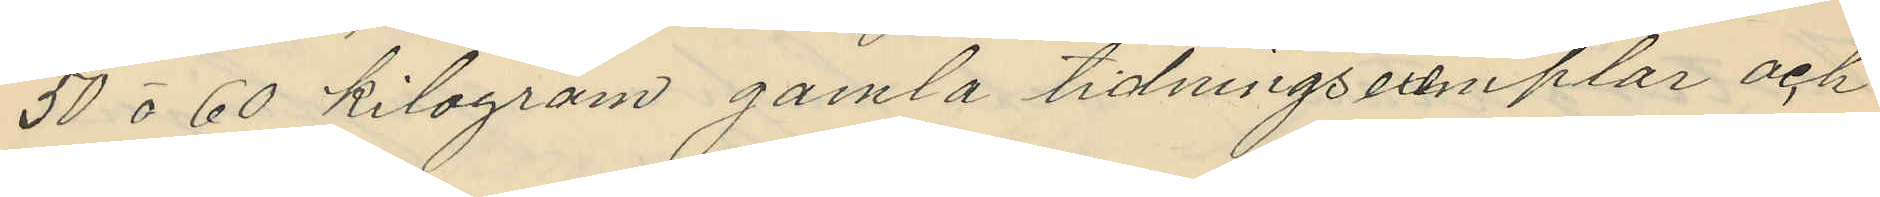50 á 60 kilogram gamla tidningsexemplar och
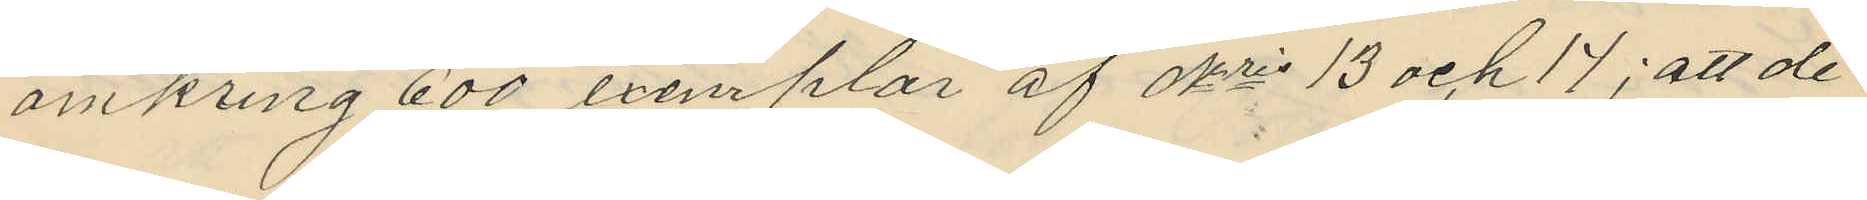omkring 600 exemplar af Nris 13 och 14; att de
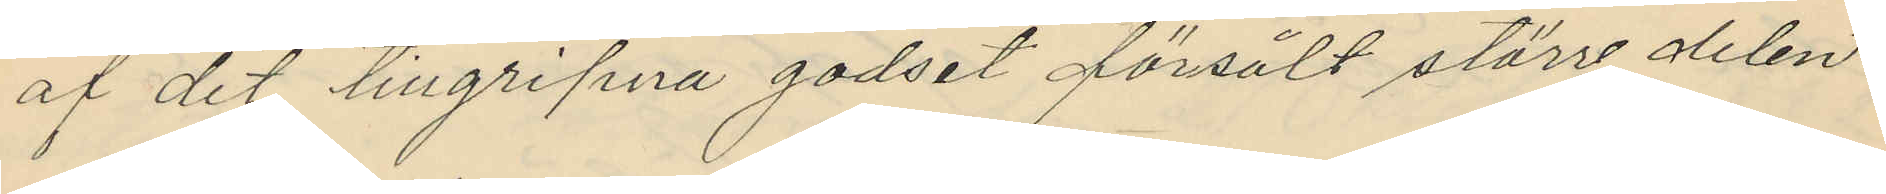af det tillgripna godset försålt större delen
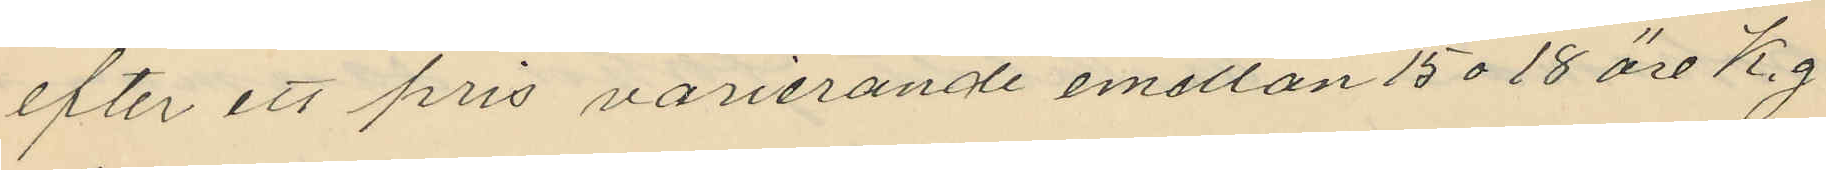efter ett pris varierande emellan 15 o 18 öre K.g
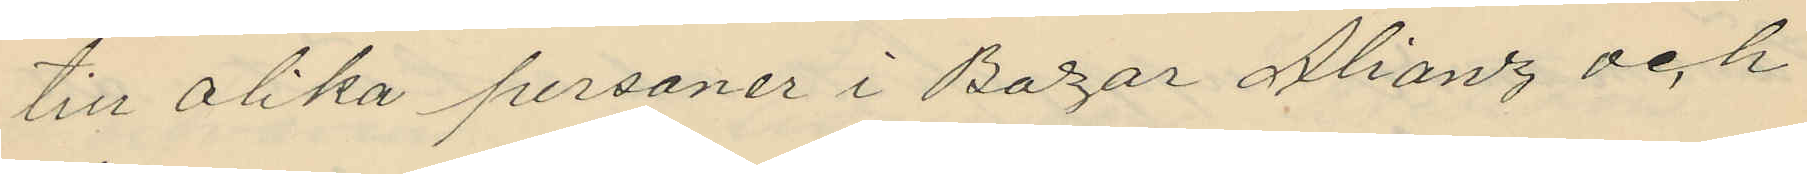till olika personer i Bazar Alianz och
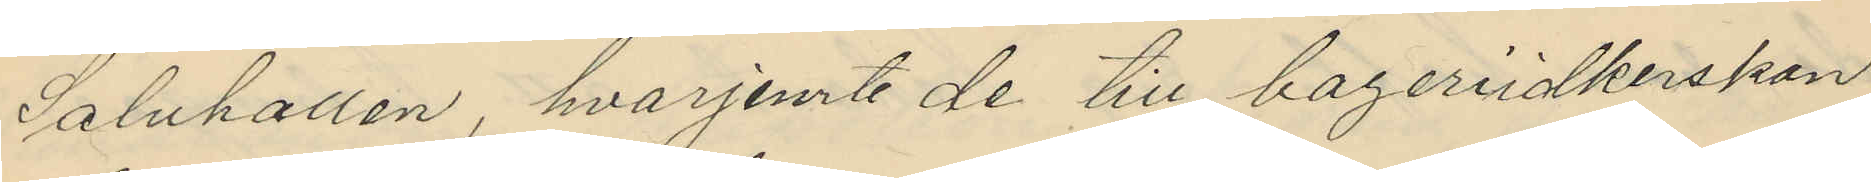Saluhallen, hvarjemte de till bageriidkerskan
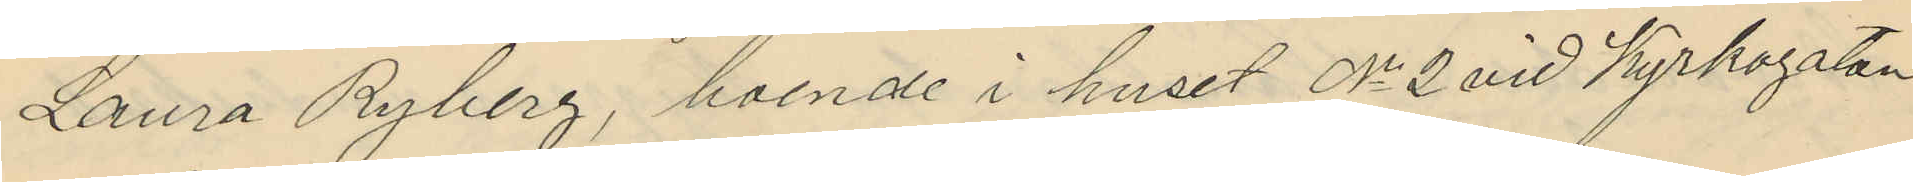Laura Ryberg, boende i huset No 2 vid Kyrkogatan
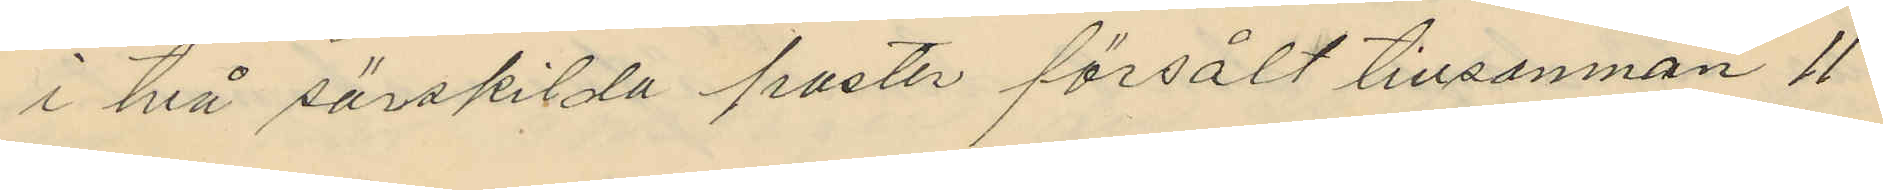i två särskilda poster försålt tillsamman 11
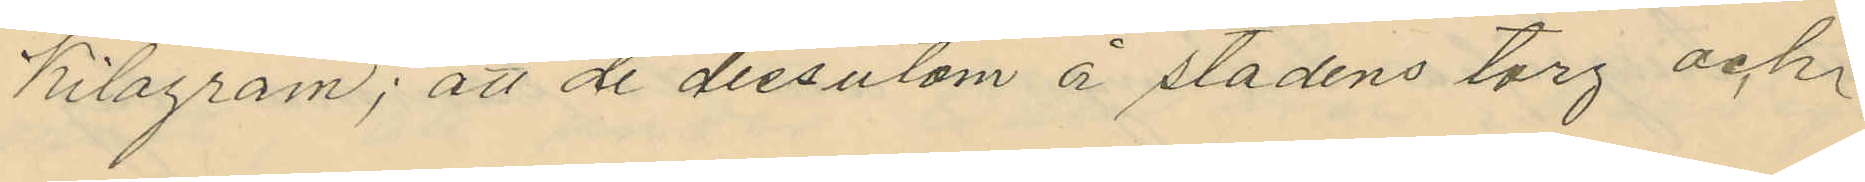Kilogram; att de dessutom å stadens torg och
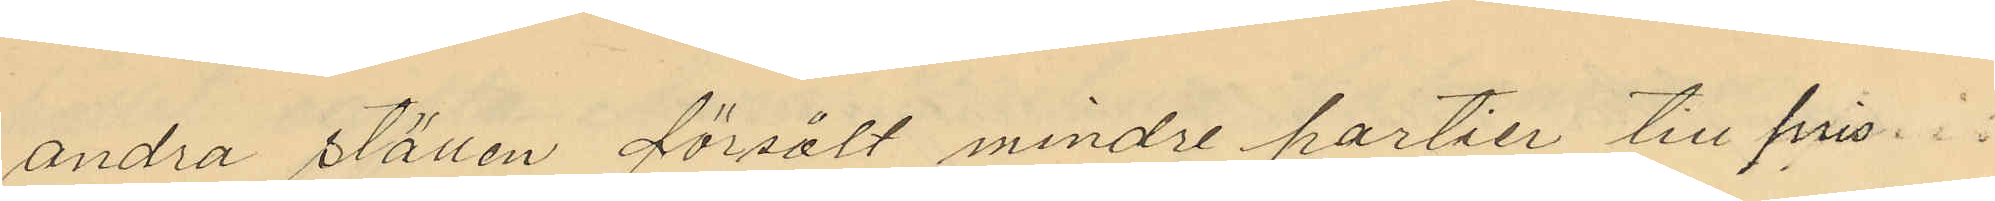andra ställen försålt mindre partier till pris
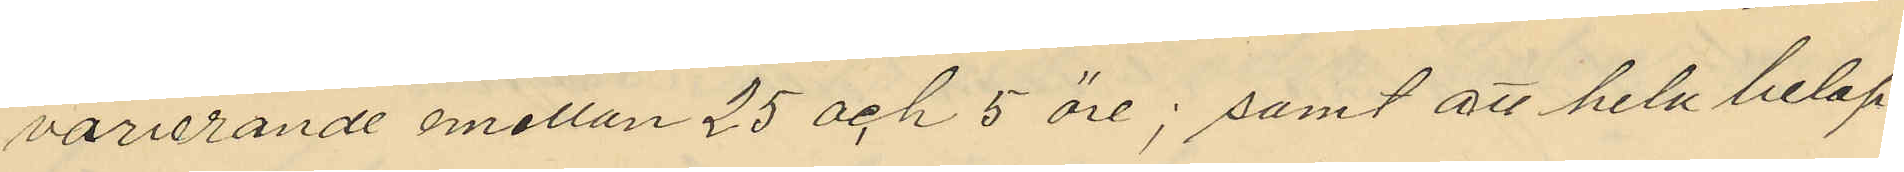varierande mellan 25 och 5 öre; samt att hela belop¬
